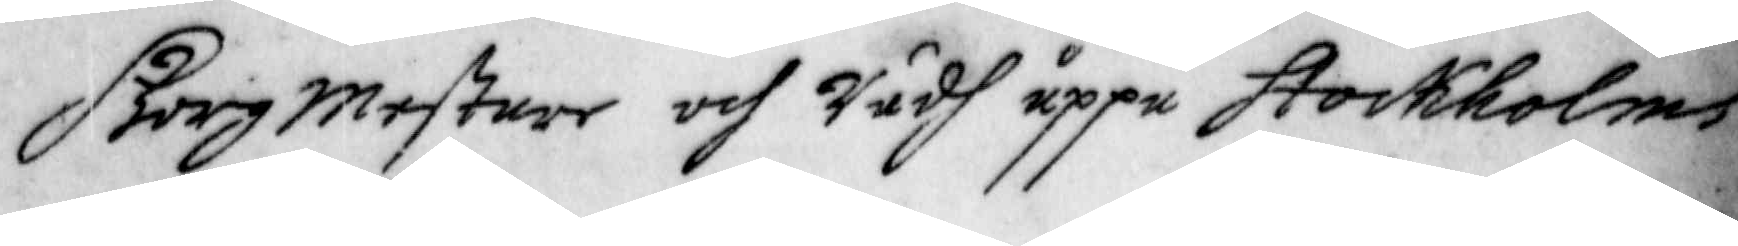Borgmestare och Rådh uppå Stockholms
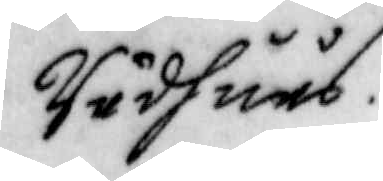Rådhuus.
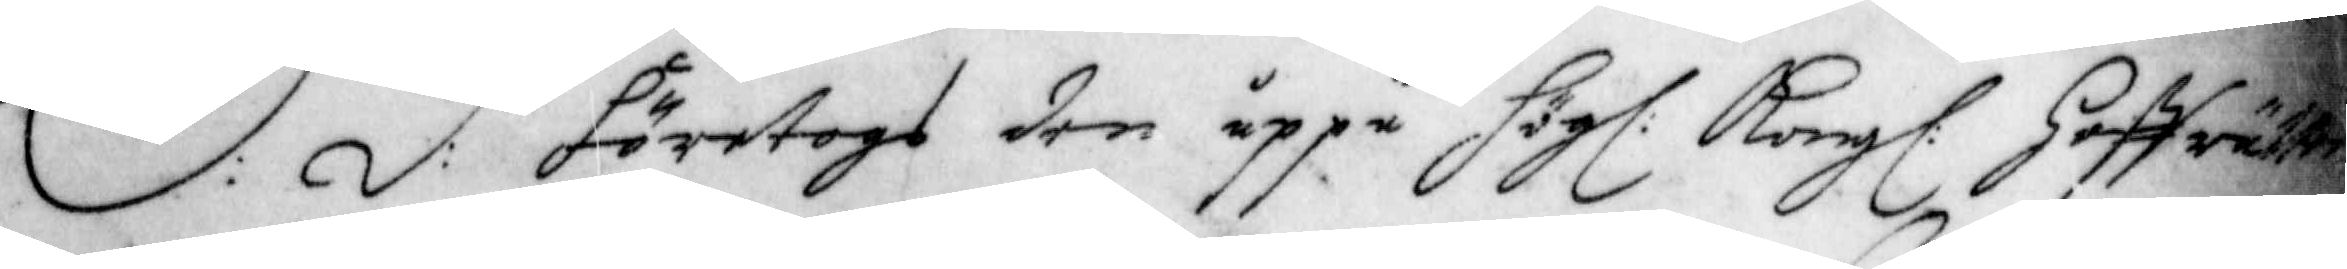S: d: företogs den uppå Högl: Kongl: Hoffrätten
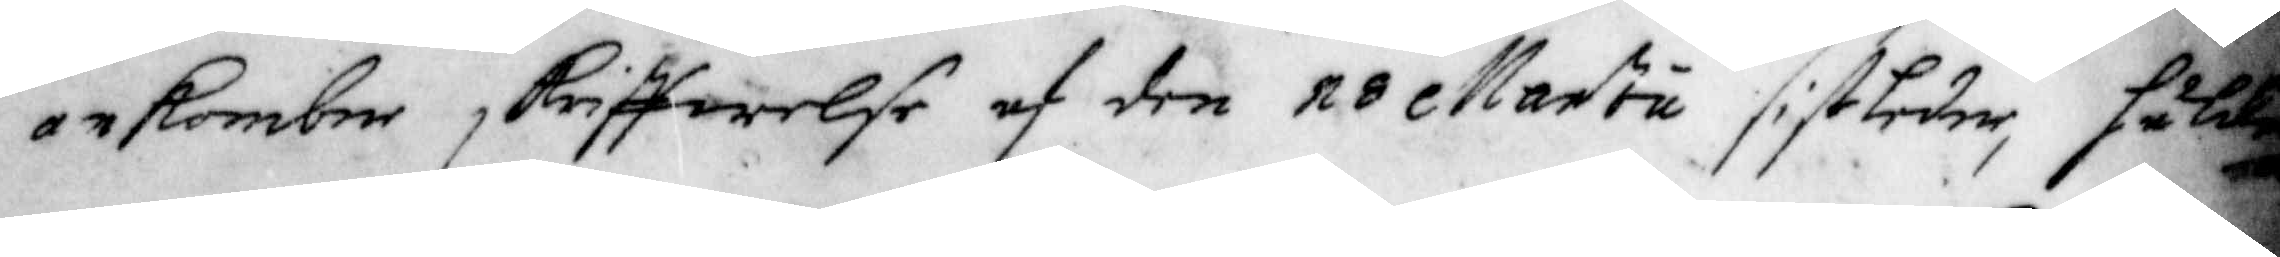inkombne skriffwelse af den 18 Martu sistledne,
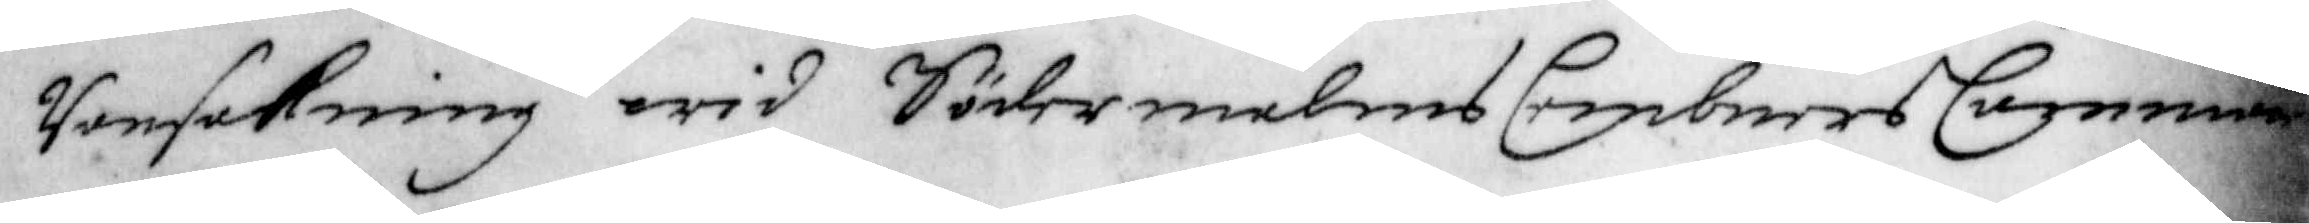Ransakning wid Södermanlands CembnersCammare
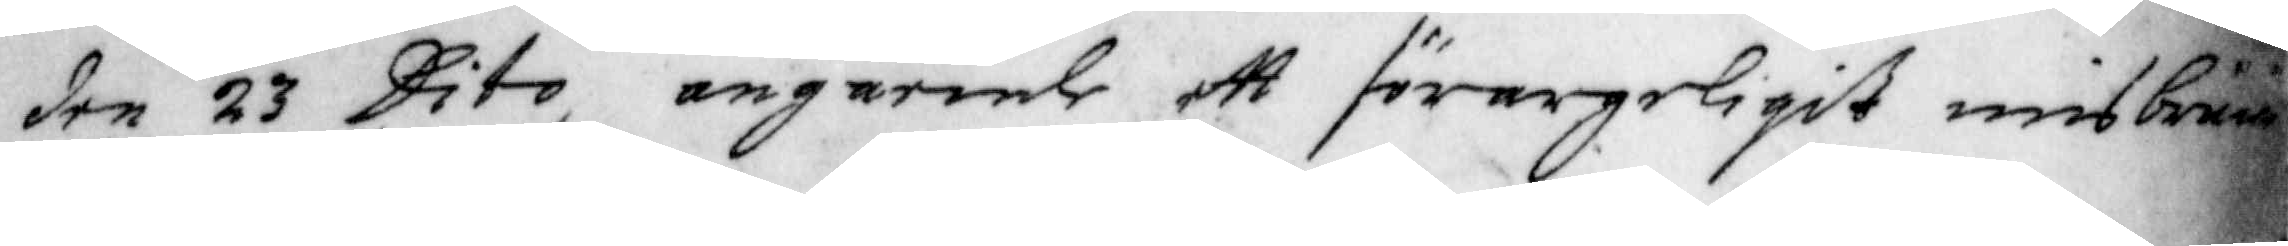den 23 Dito, angående ett förargerligt misbruuk
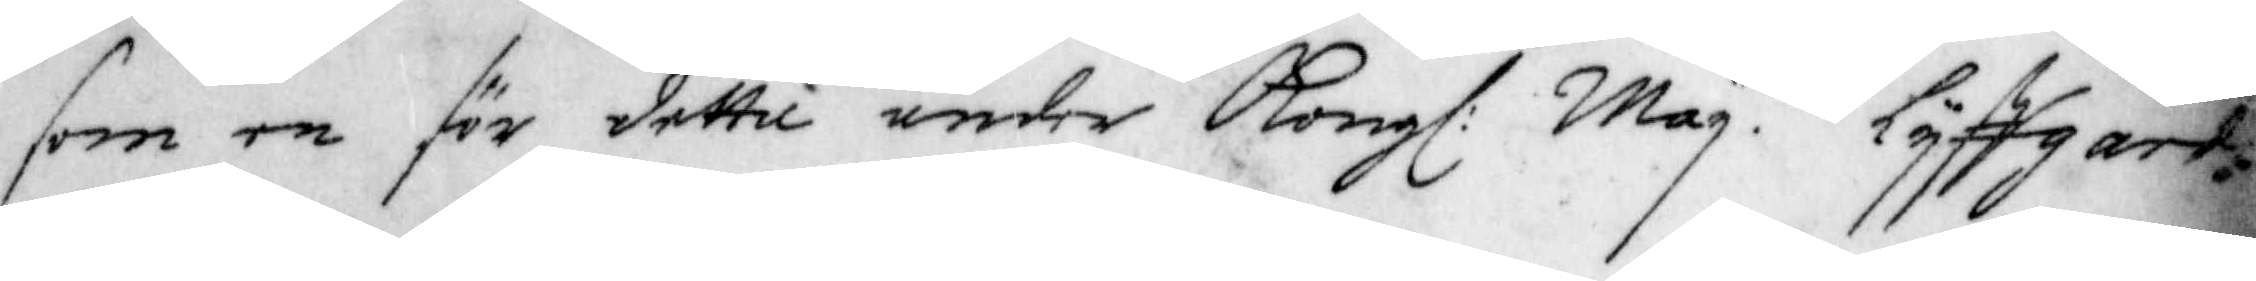som en för detti under Kongl: May. tz lyffgarde
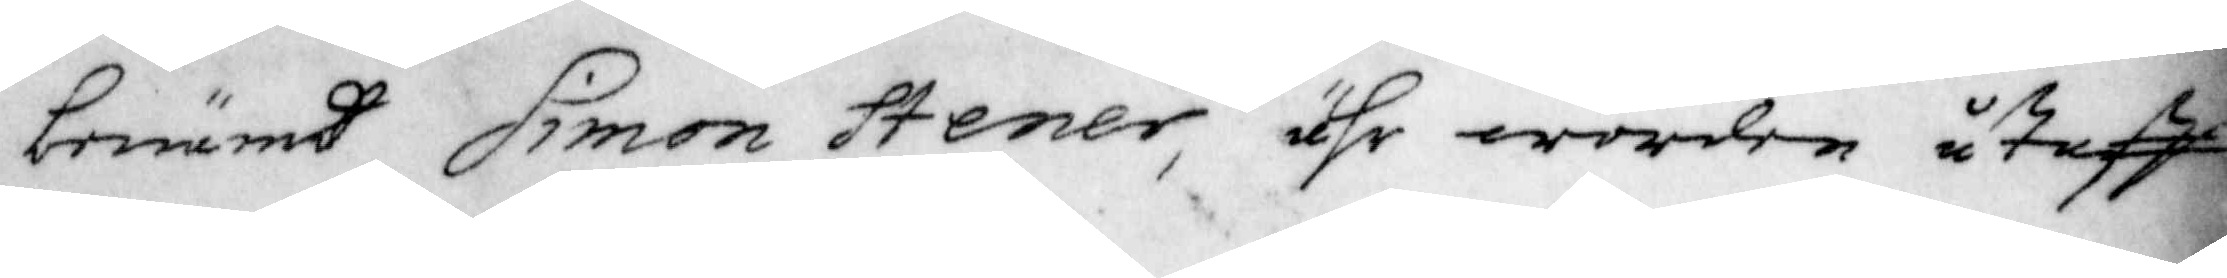benämd Simon Stener, ähr worden utaff
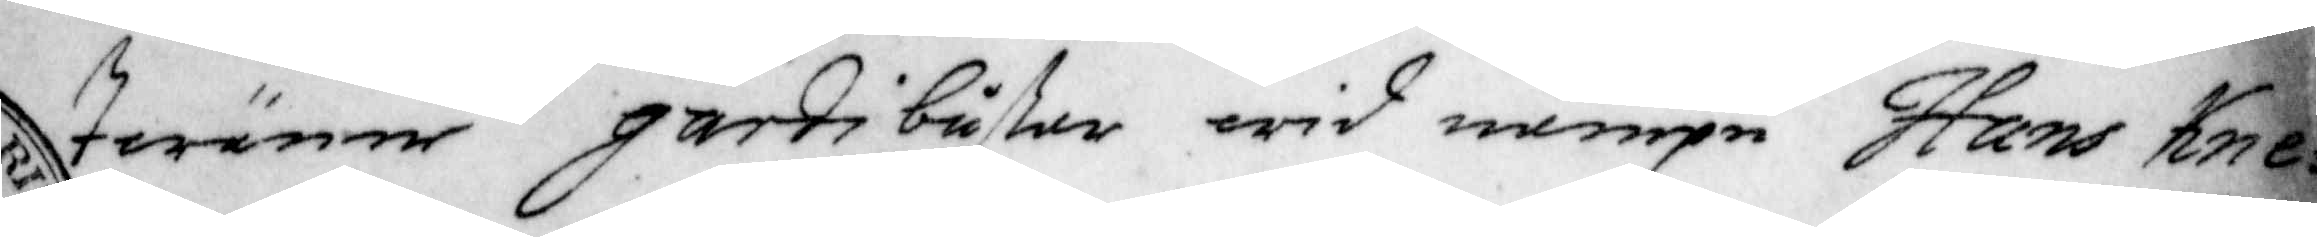twänne gardigußar wid nampn Hans Kne¬
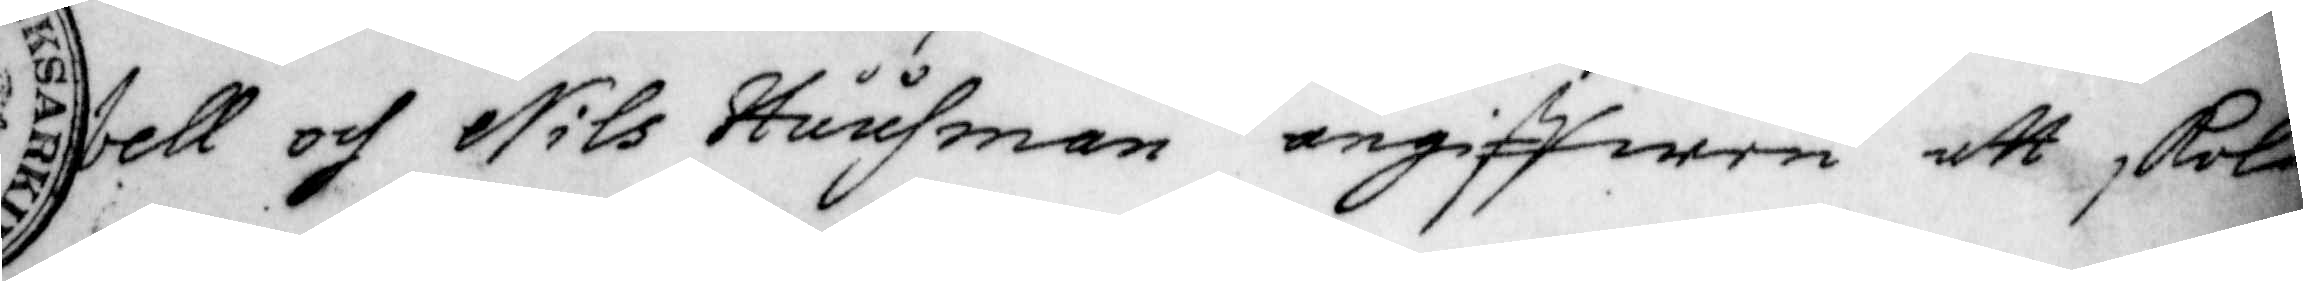bell och Nils Huusman angiffwen att, skola
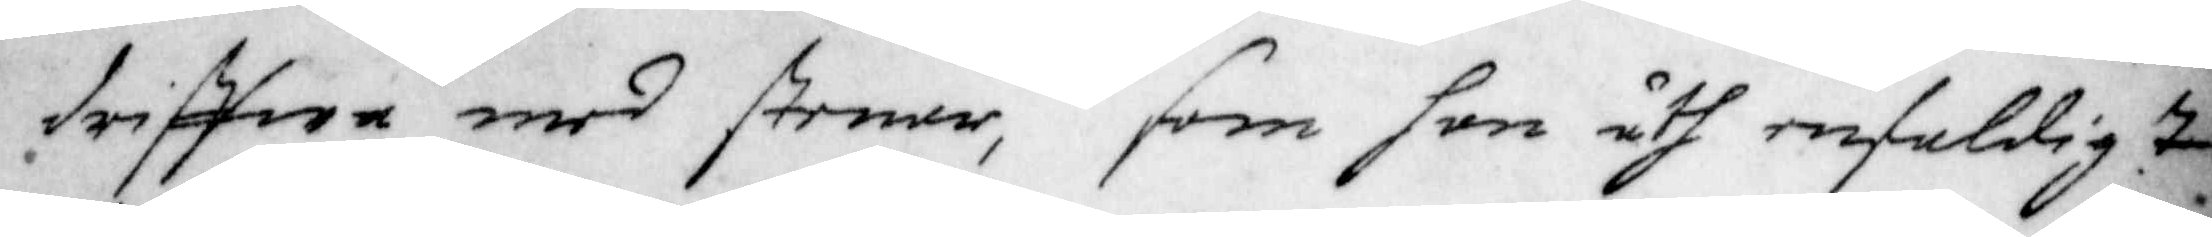driffwa med stenar, som han åth enfaldig ...
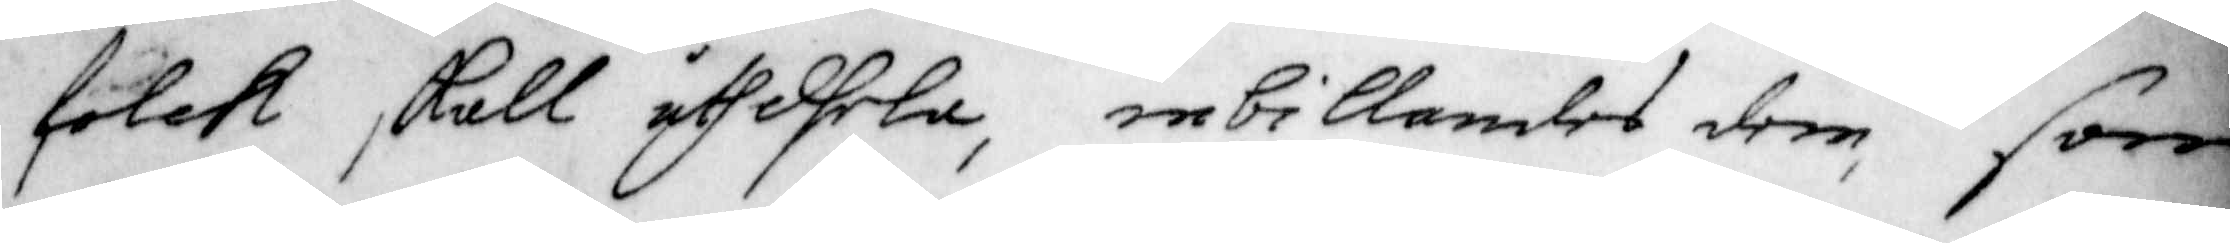folck skall uthdhela, inbillandes dem, som
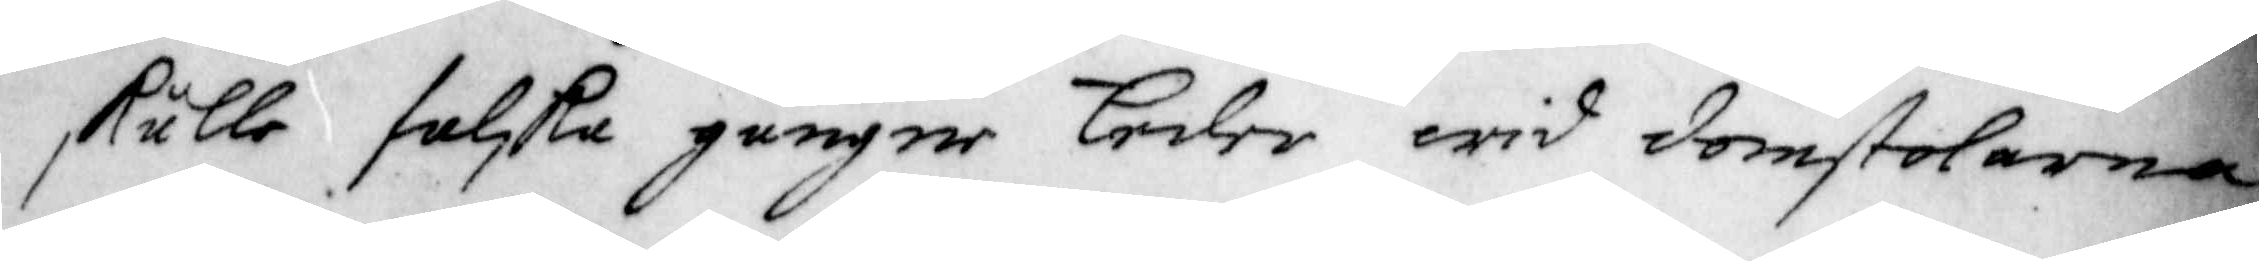skulle falska gånger Eeder wid domstolarna
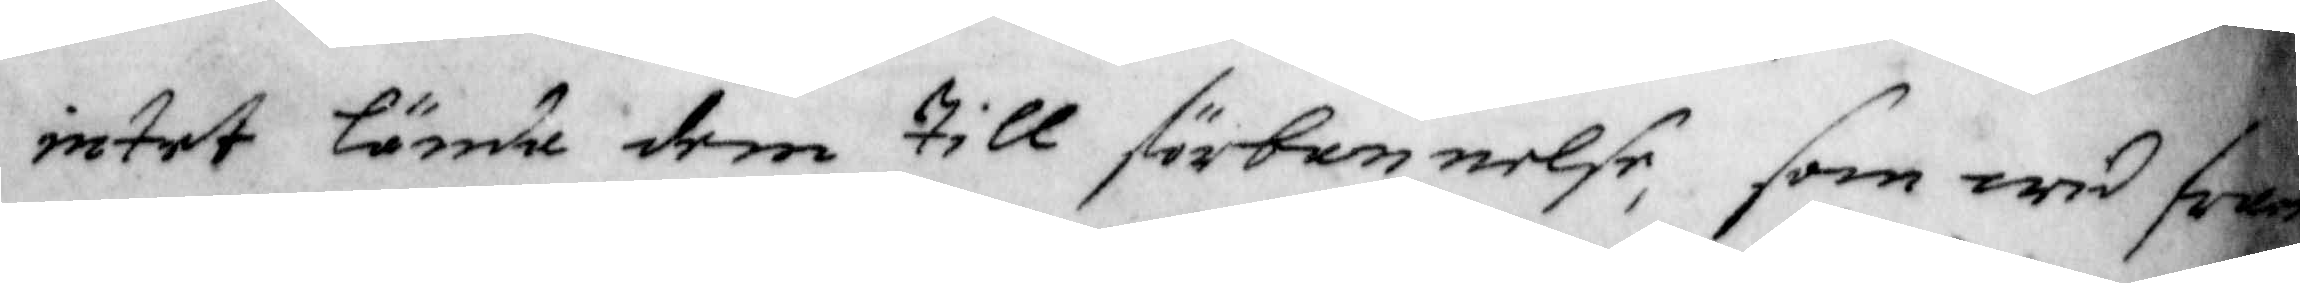intet lände dem till förbannelse, som wid fram¬
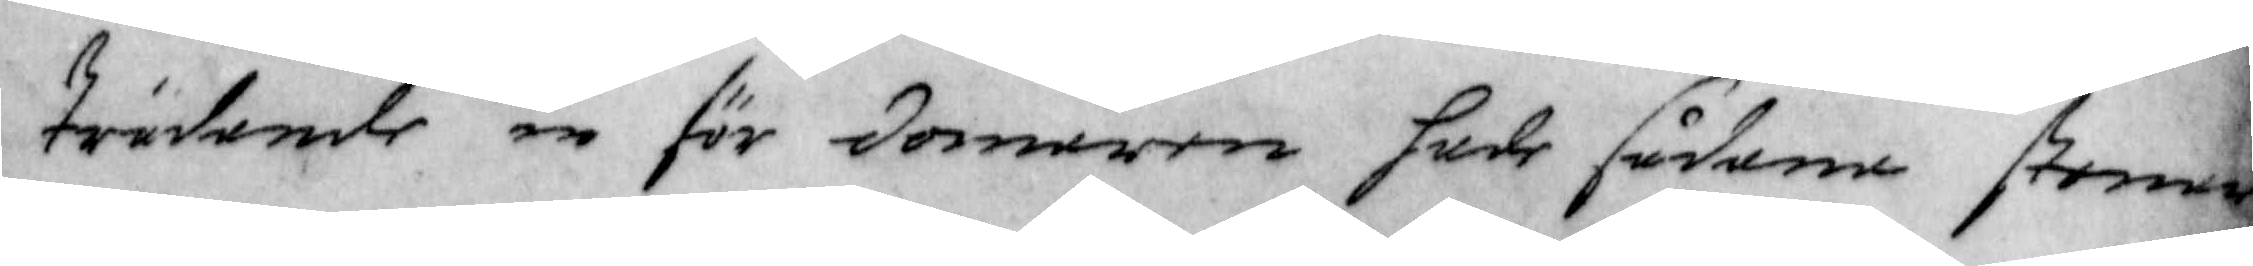trädande in för domaren hade sådane stenar
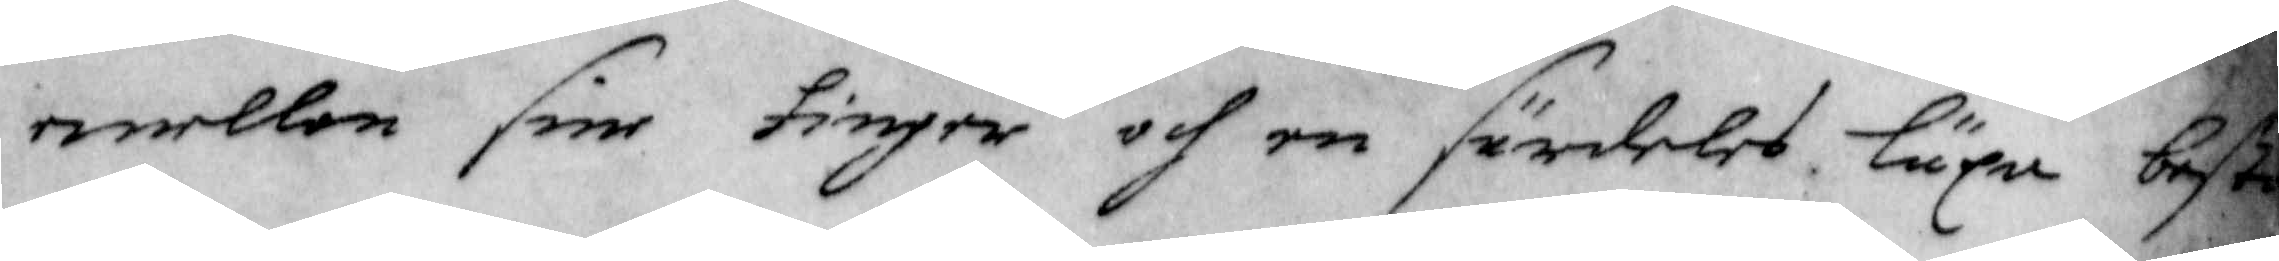emellan sine fingrar och en särdeles läxa best¬
